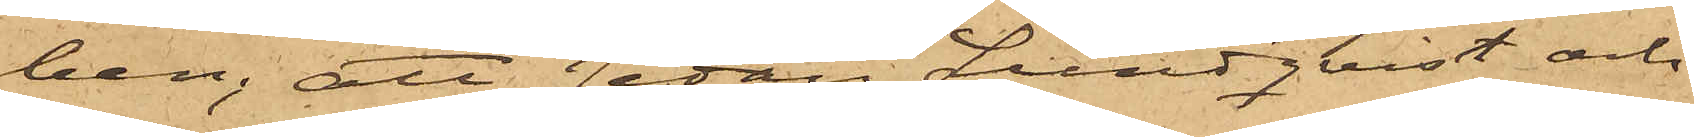ben; att sedan Lundqvist och
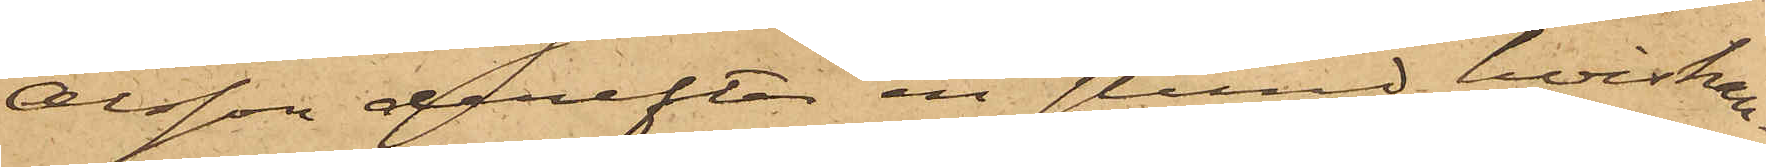Olsson derefter en stund hviskan¬
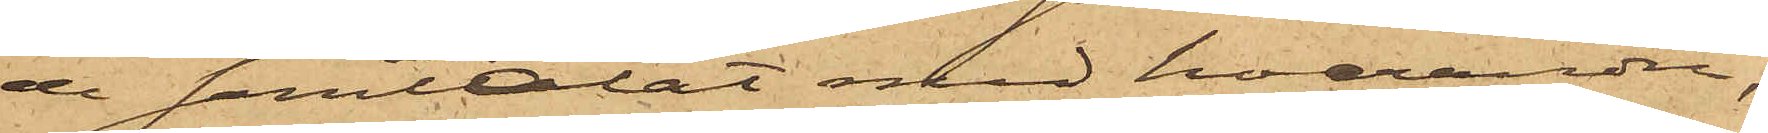de samtalat med hvarandra,
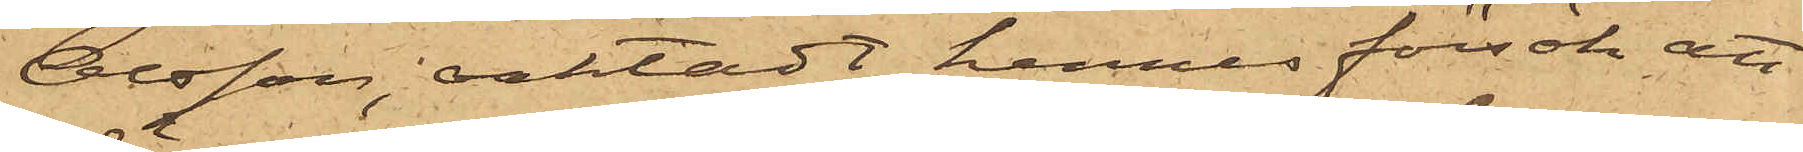Olsson, oaktadt hennes försök att
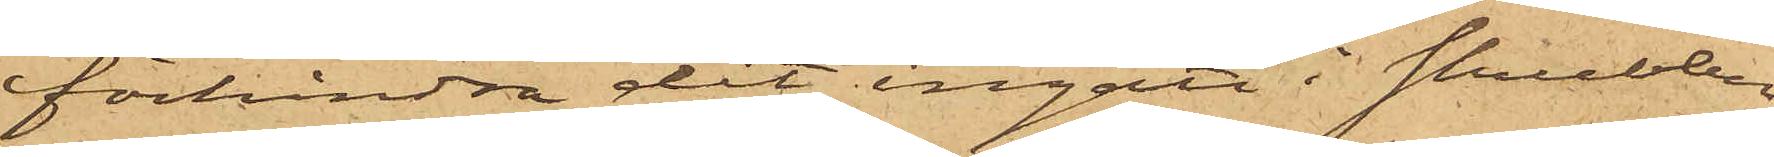förhindra det, ingått i skrubben
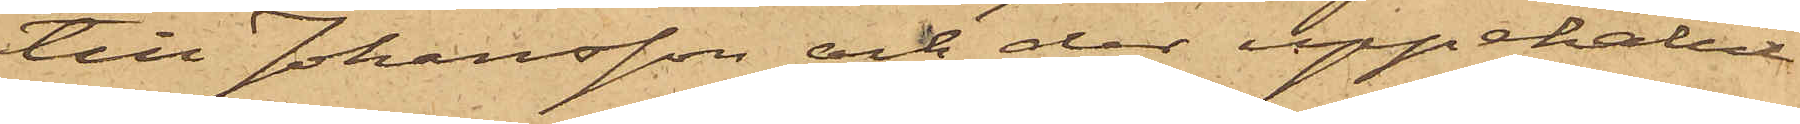till Johansson och der uppehållit
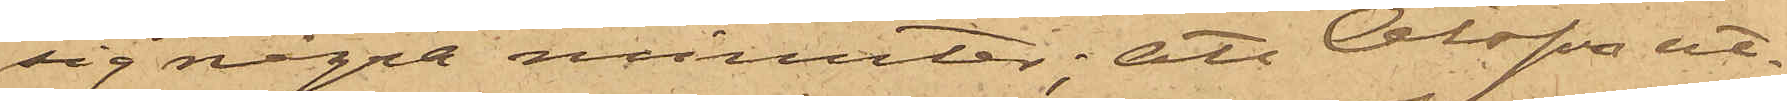sig några minuter; att Olsson ut¬
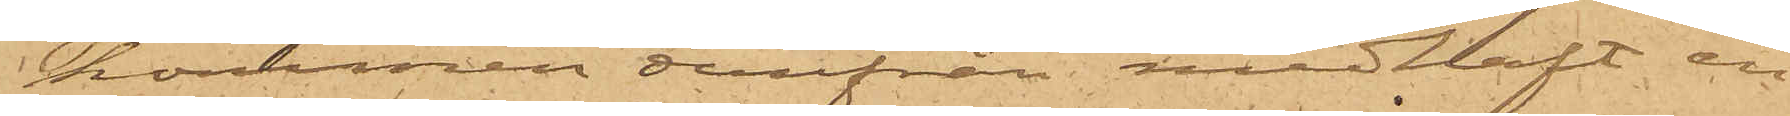kommen derifrån medhaft en
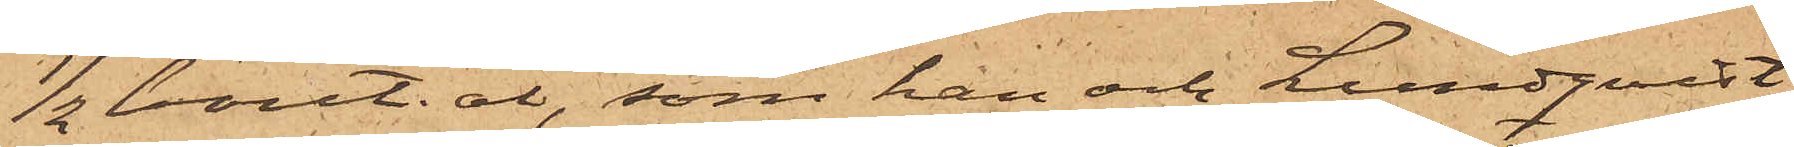1/2 bout. öl, som han och Lundqvist
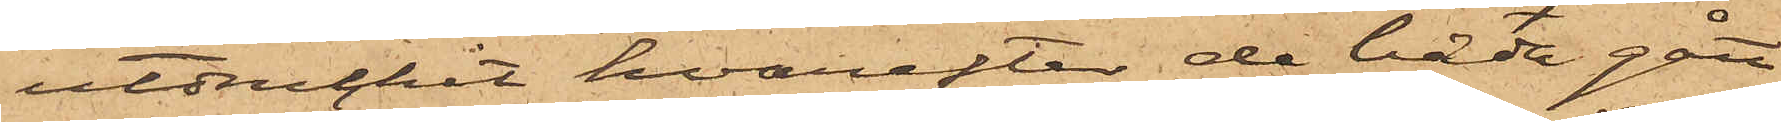utdruckit, hvarefter de båda gått
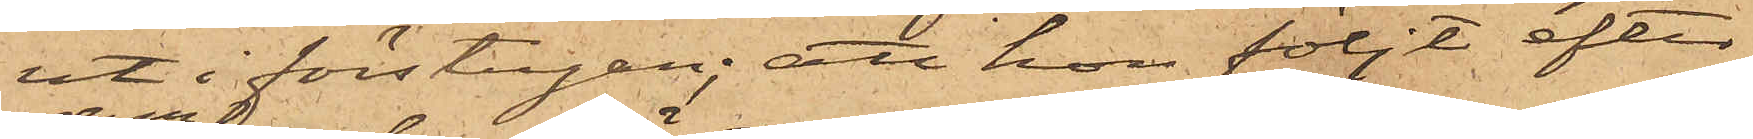ut i förstugan; att hon följt efter
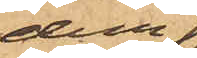dem
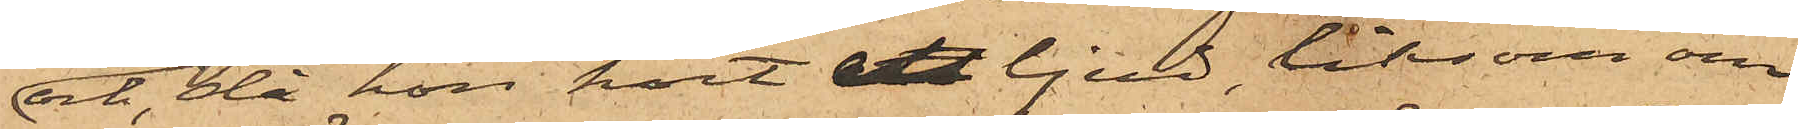och, då hon hört ett ljud, liksom om
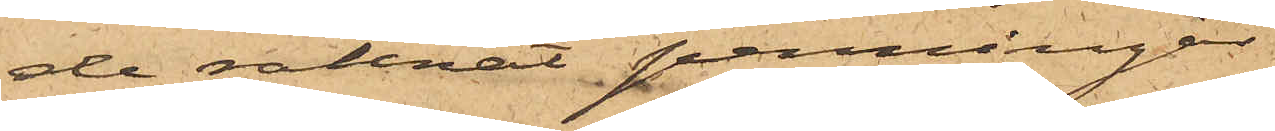de räknat penningar,
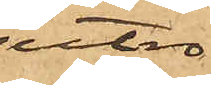utro¬
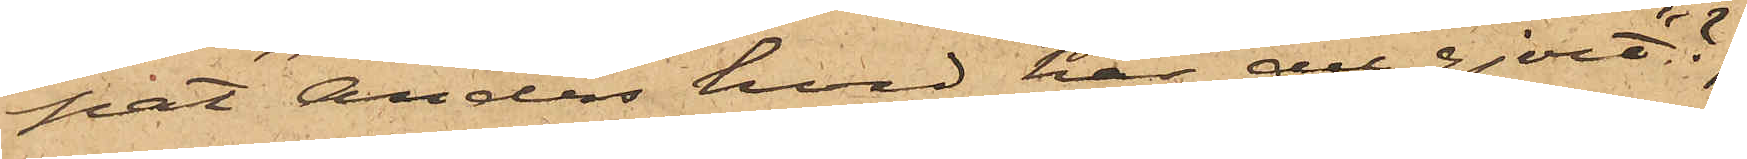pat: "Anders hvad har du gjort"?;
